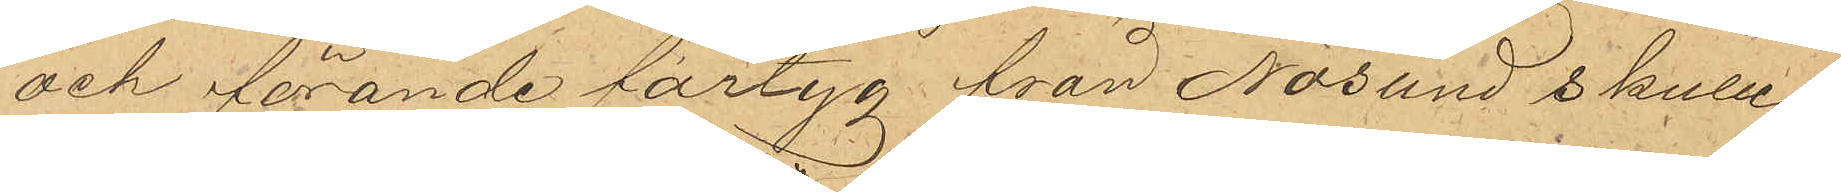och förande fartyg från Nösund skulle
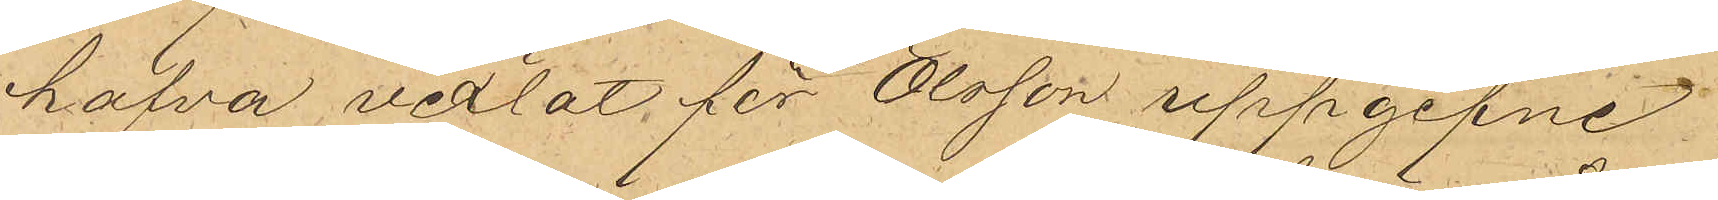hafva vexlat för Olsson uppgifne
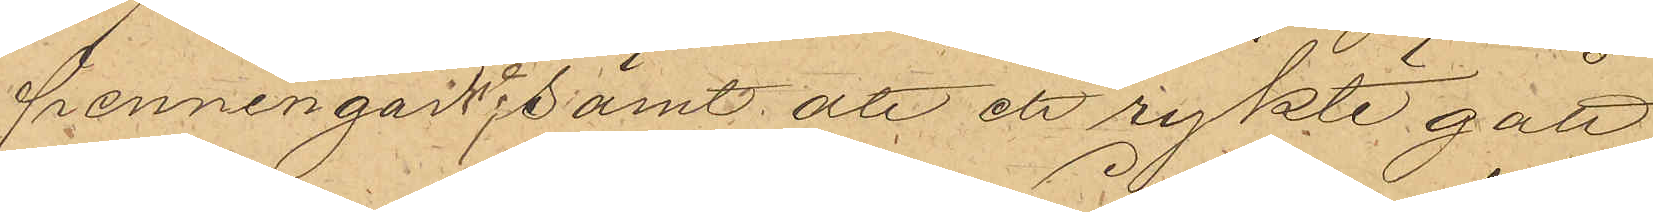penningar; samt att ett rykte gått
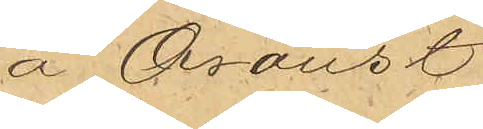å Oroust
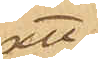att
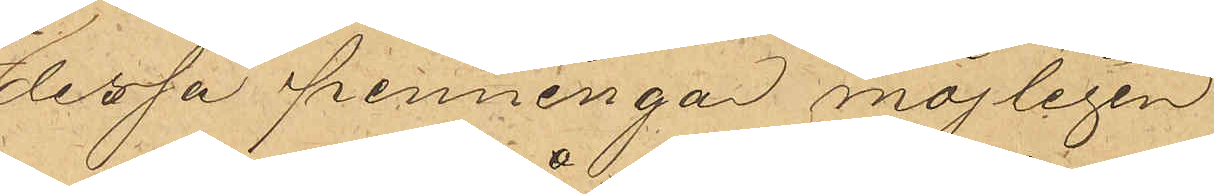dessa penningar möjligen
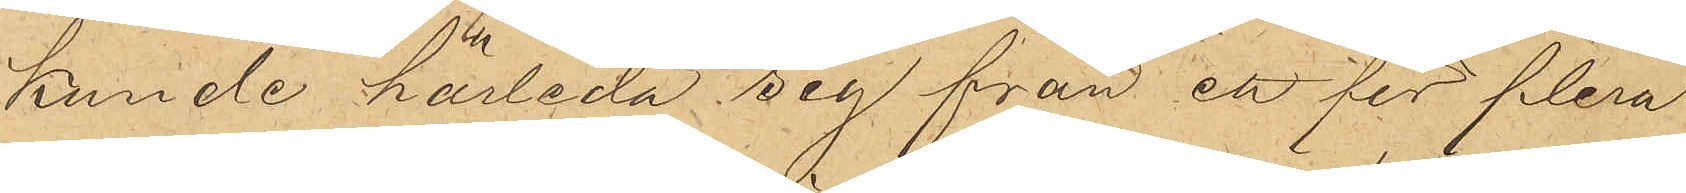kunde härleda sig från ett för flera
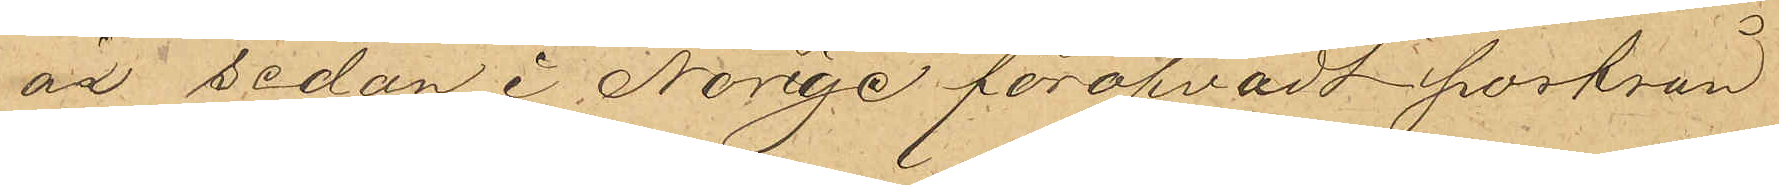år sedan i Norige föröfvadt postrån
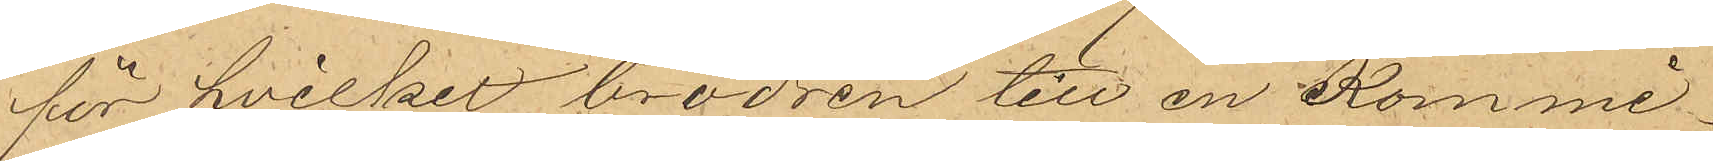för hvilket brodren till en Kommi¬
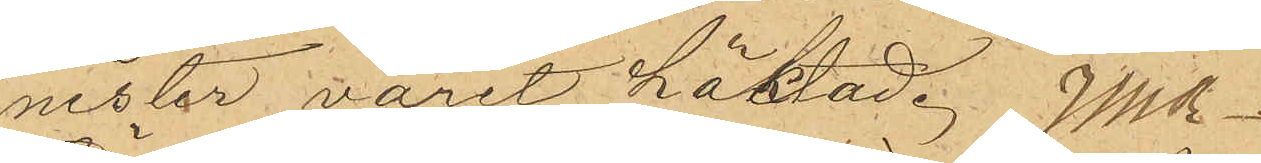nister varit häktad. 
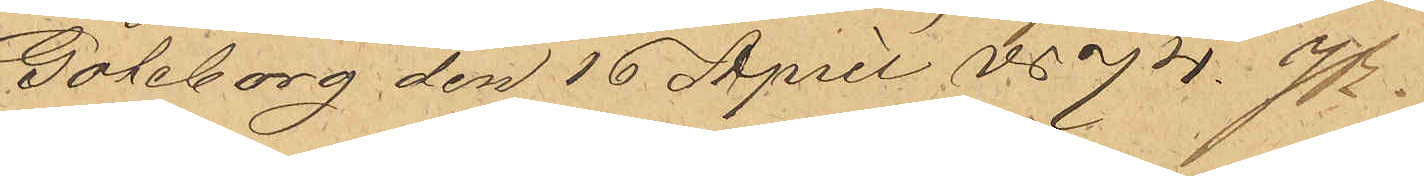Göteborg den 16 April 1874.
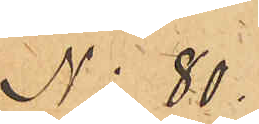No 80.
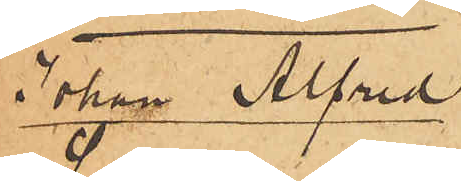Johan Alfred
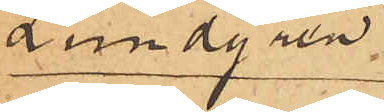Lundgren.
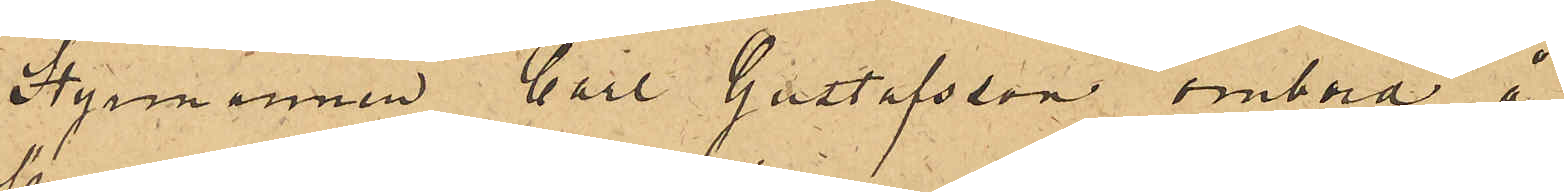Styrmannen Carl Gustafsson ombord å
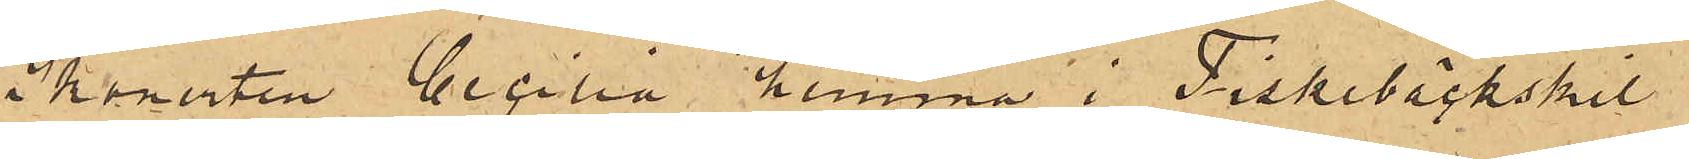Skonerten Cecilia hemma i Fiskebäckskil
